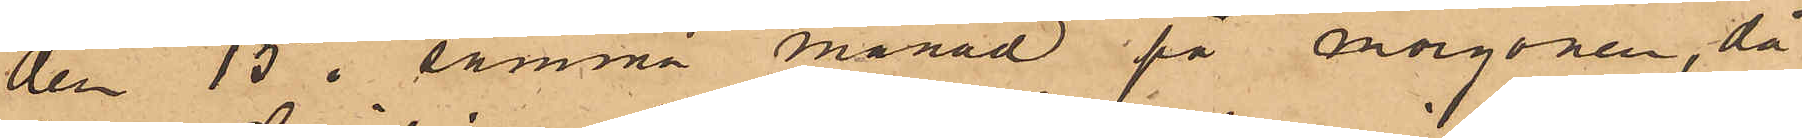den 15 i samma månad på morgonen, då
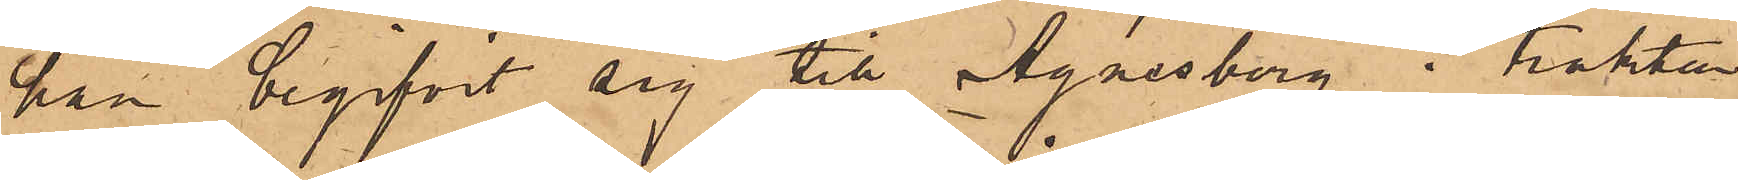han begifvit sig till Agnesberg i trakten
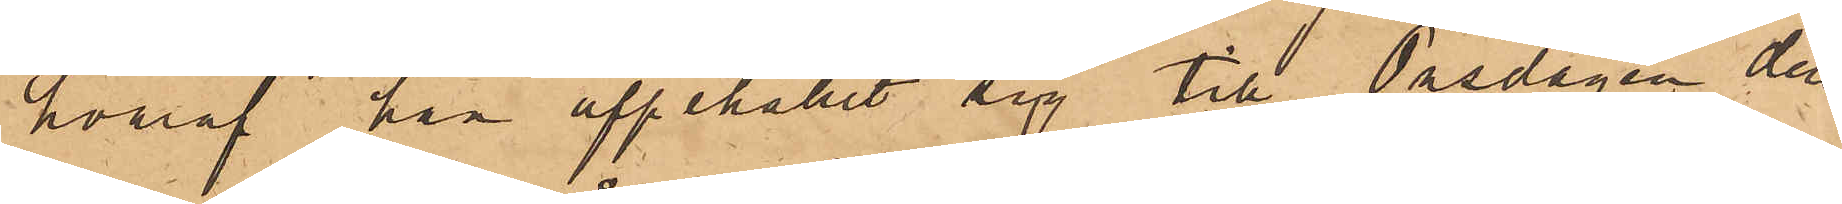hvaraf han uppehållit sig till Onsdagen den
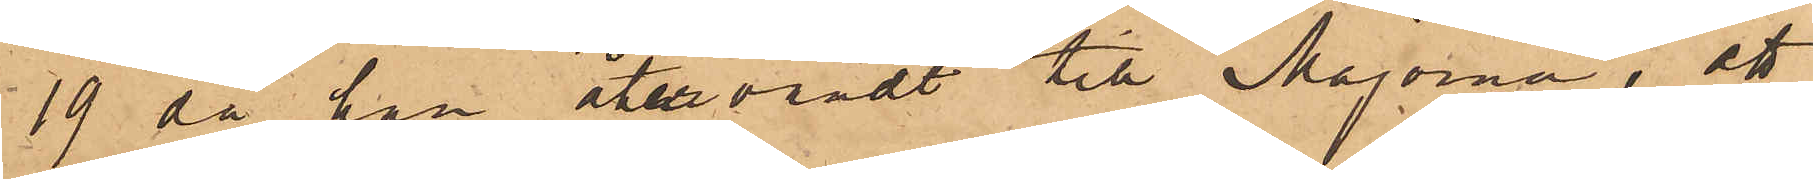19 då han återvändt till Majorna; att
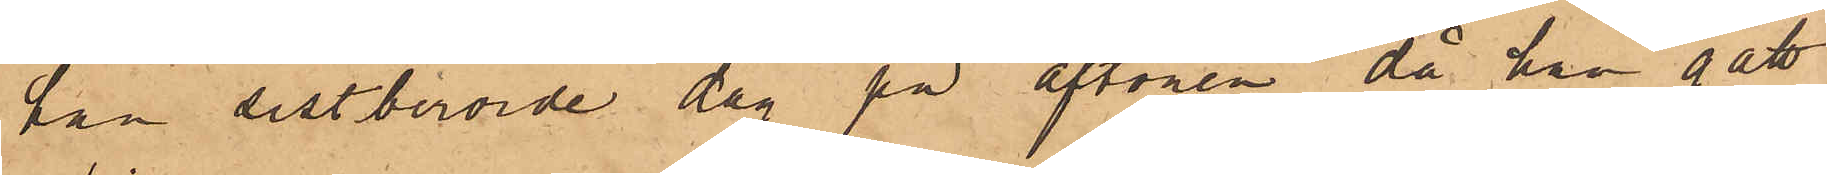han sistberörde dag på aftonen då han gått
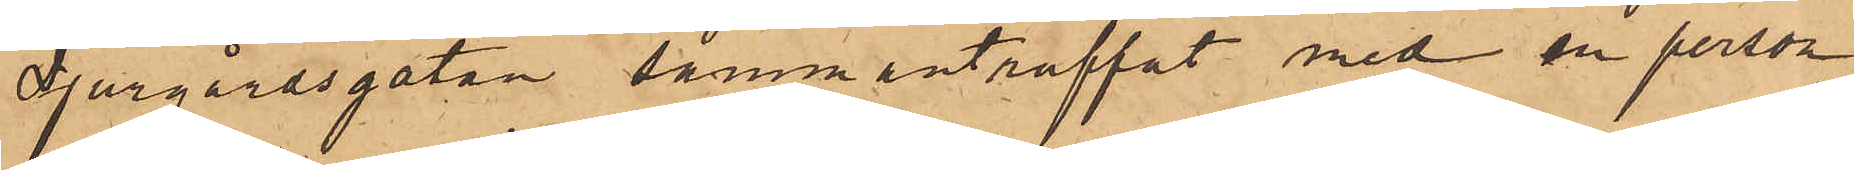Djurgårdsgatan sammanträffat med en person,
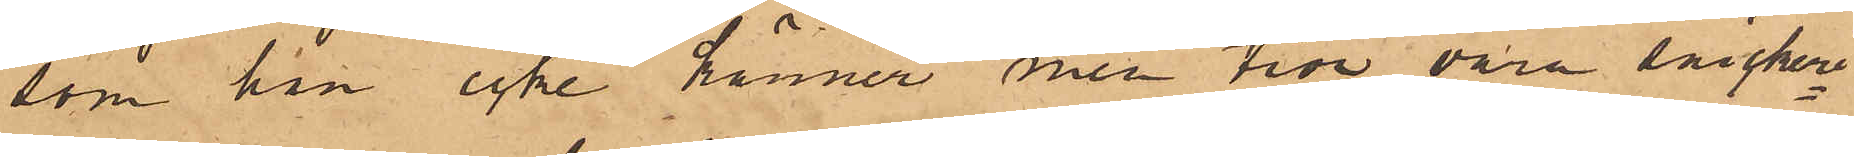som han icke känner men tror vara snickeri¬
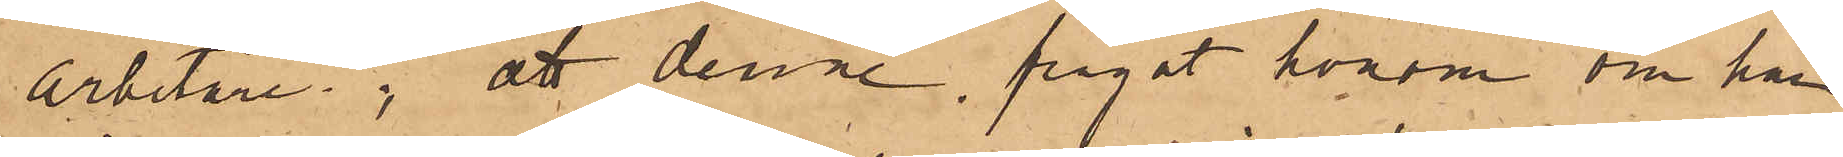arbetare; att denne frågat honom om han
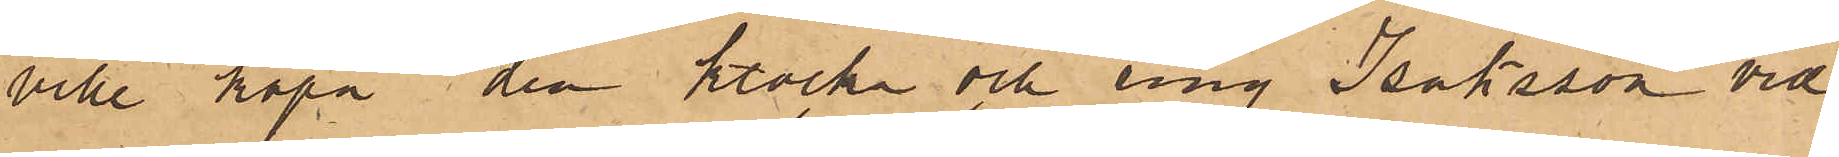ville köpa den klocka och ring Isaksson vid
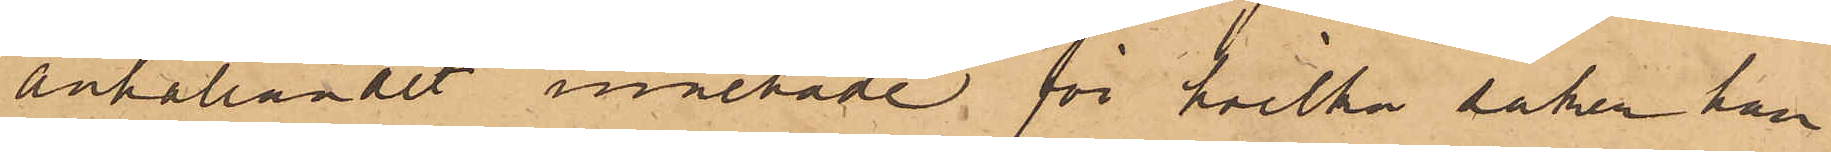anhållandet innehade för hvilka saker han
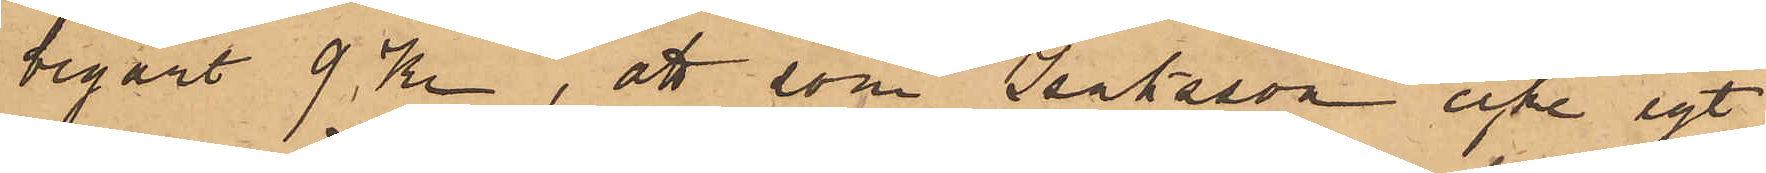begärt 9 Kr, att som Isaksson icke egt
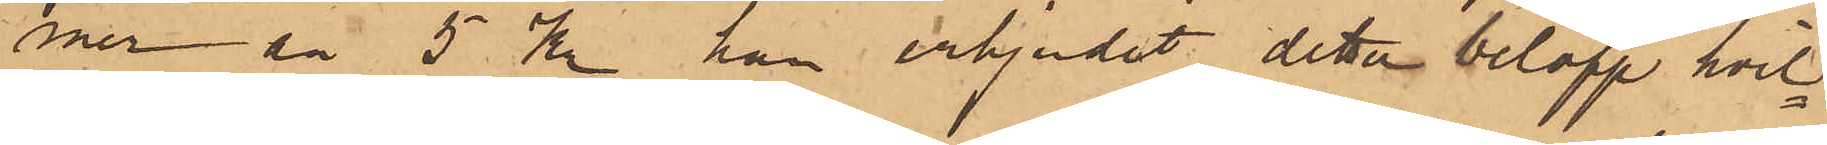mer än 5 Kr han erbjudit detta belopp hvil¬
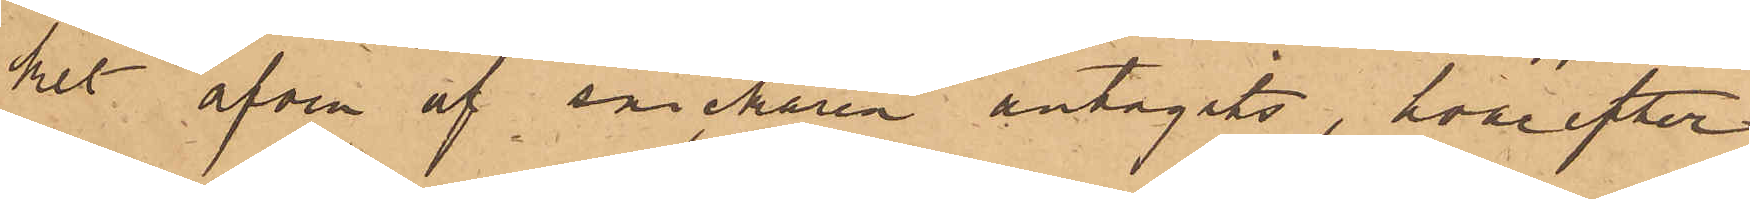ket äfven af snickaren antagits, hvarefter
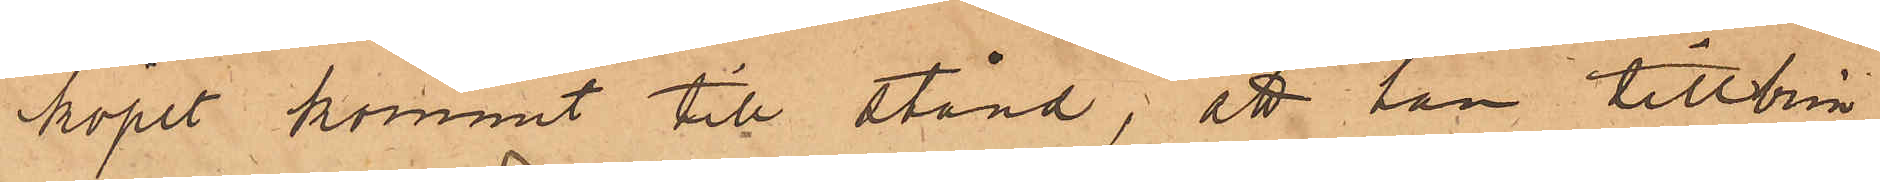köpet kommit till stånd; att han tillbrin¬
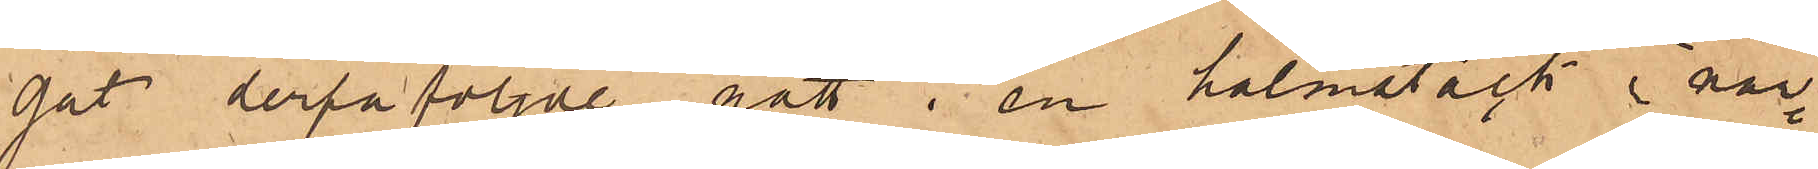gat derpåföljde natt i en halmstack i när¬
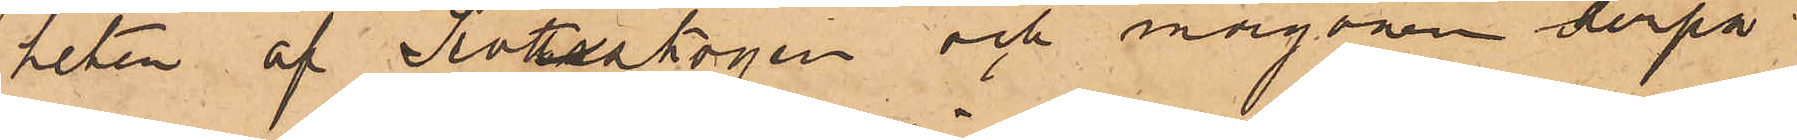heten af Slotttsskogen och morgonen derpå
